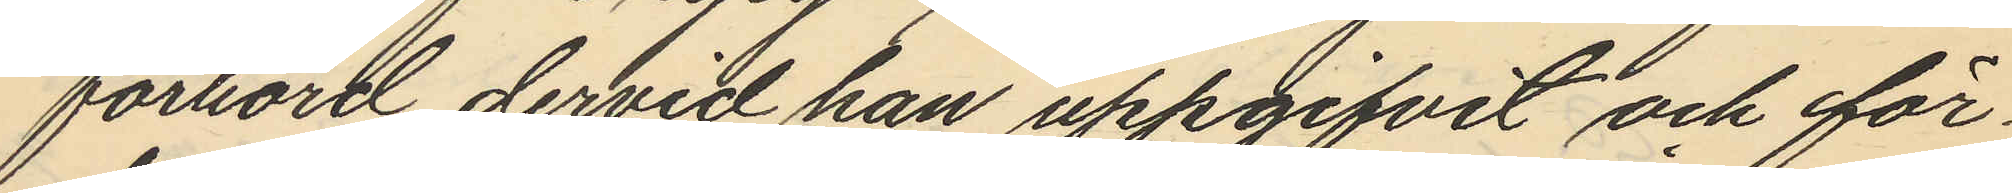förhörd dervid han uppgifvit och för¬
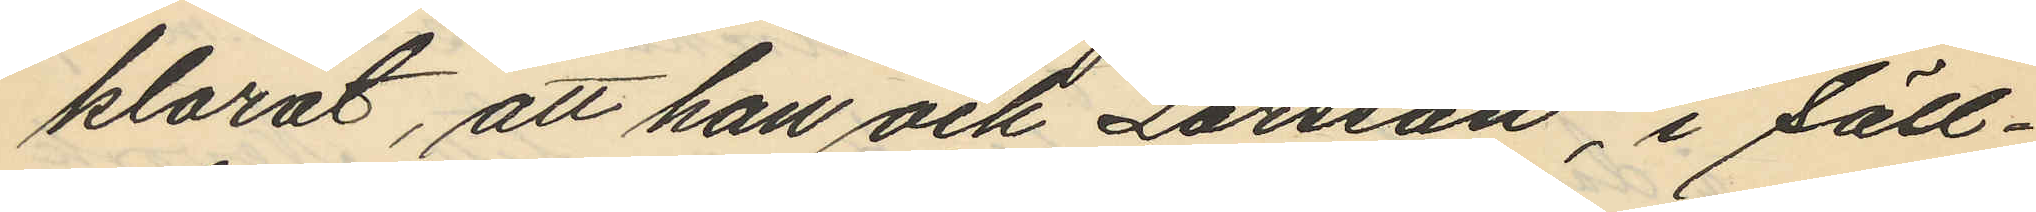klarat, att han och Larsson, i säll¬
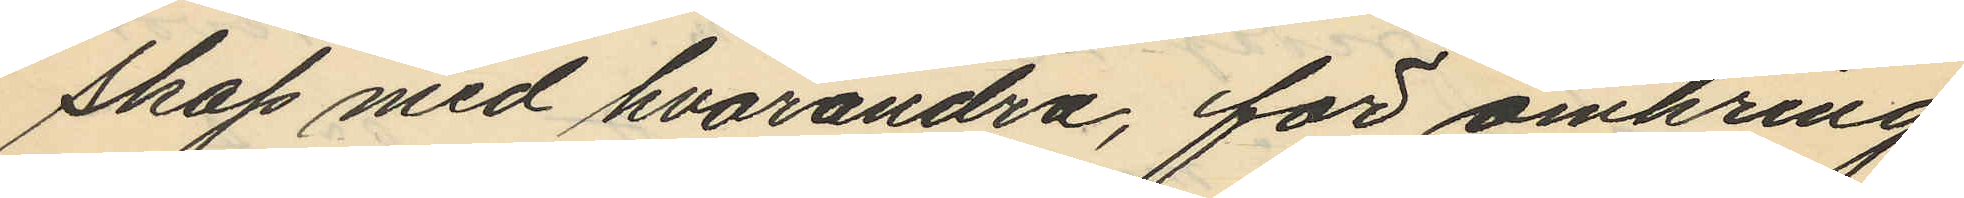skap med hvarandra, för omkring
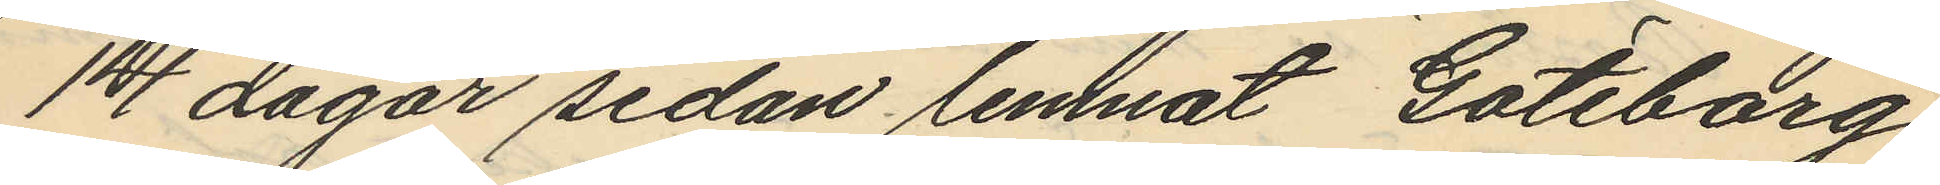14 dagar sedan lemnat Göteborg
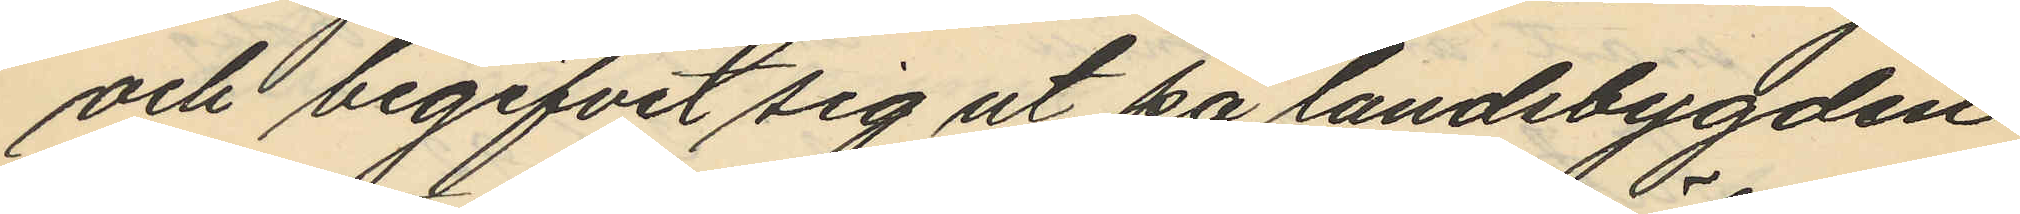och begifvit sig ut på landsbygden
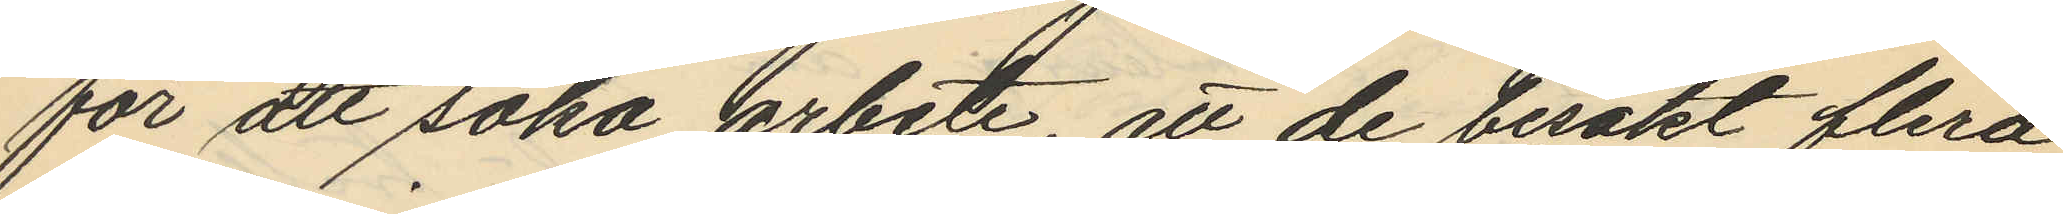för att söka arbete, att de besökt flera
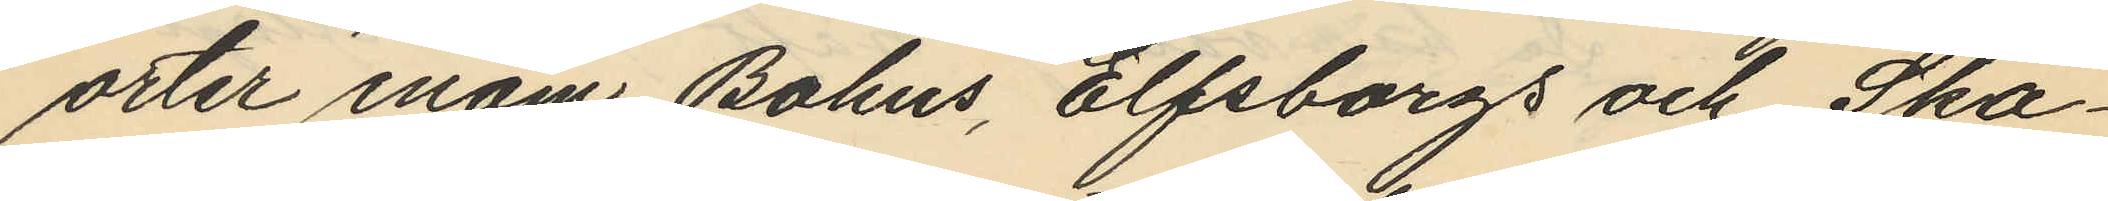orter inom Bohus, Elfsborgs och Ska¬
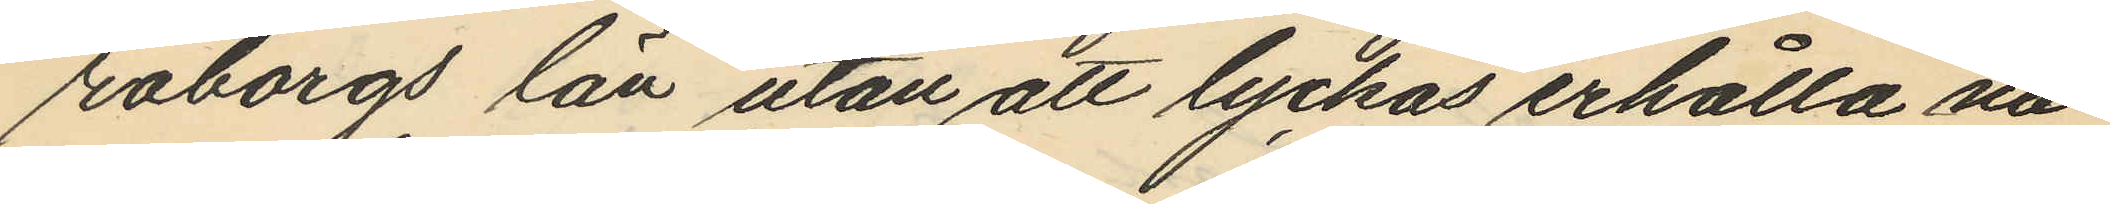raborgs län utan att lyckas erhålla nå¬
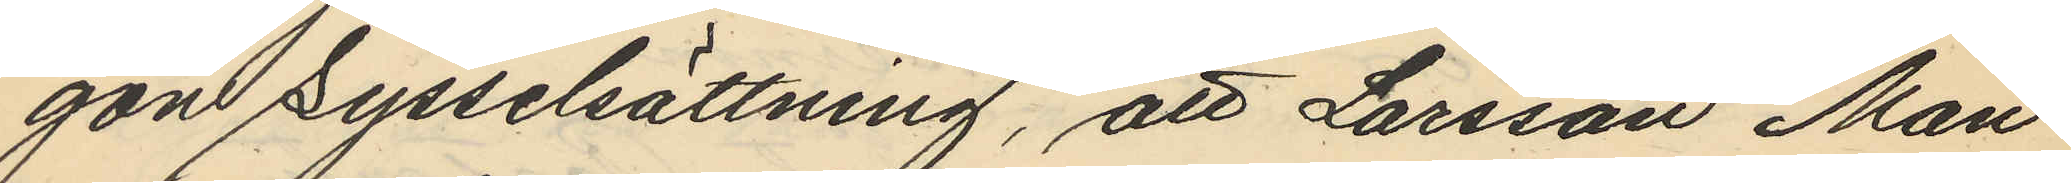gon sysselsättning, att Larsson Mån¬
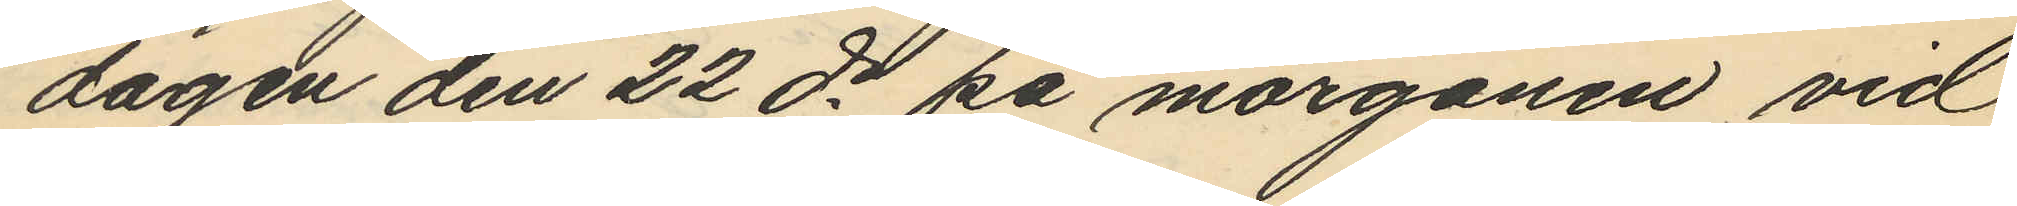dagen den 22 ds på morgonen vid
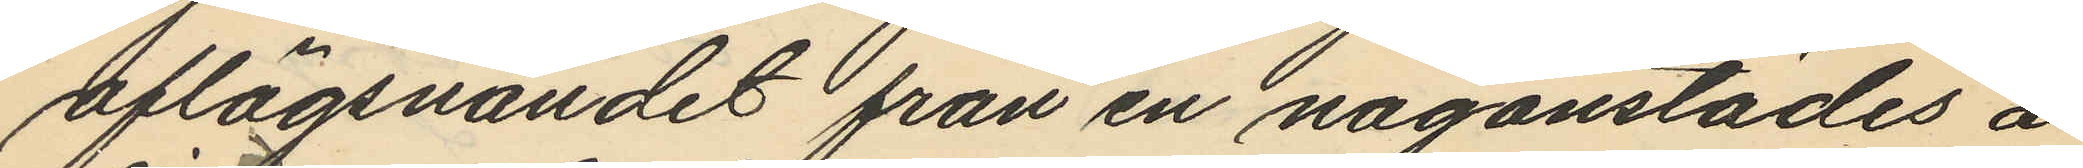aflägsnandet från en någonstädes å
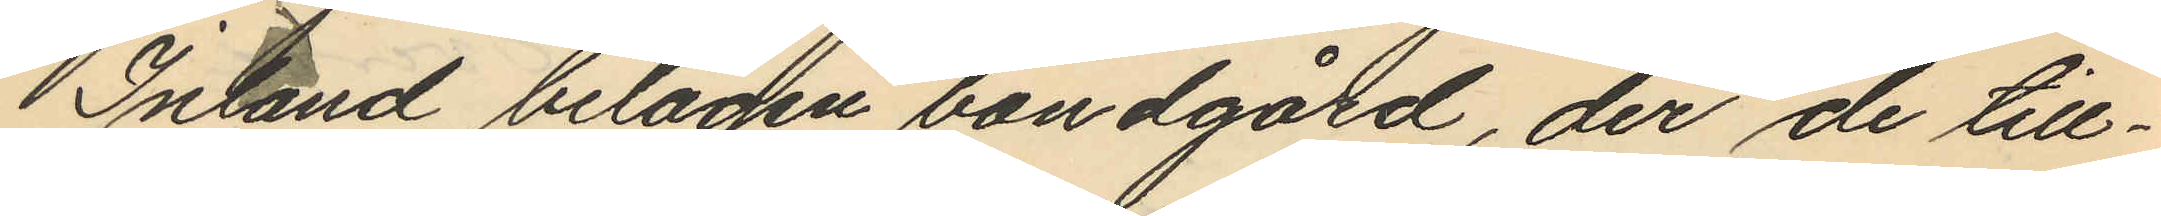Inland belägen bondgård, der de till¬
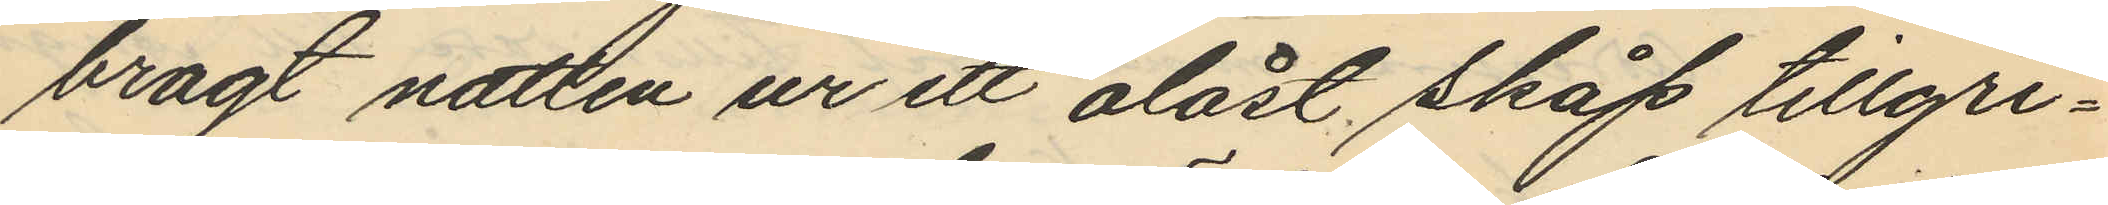bragt natten ur ett olåst skåp tillgri¬
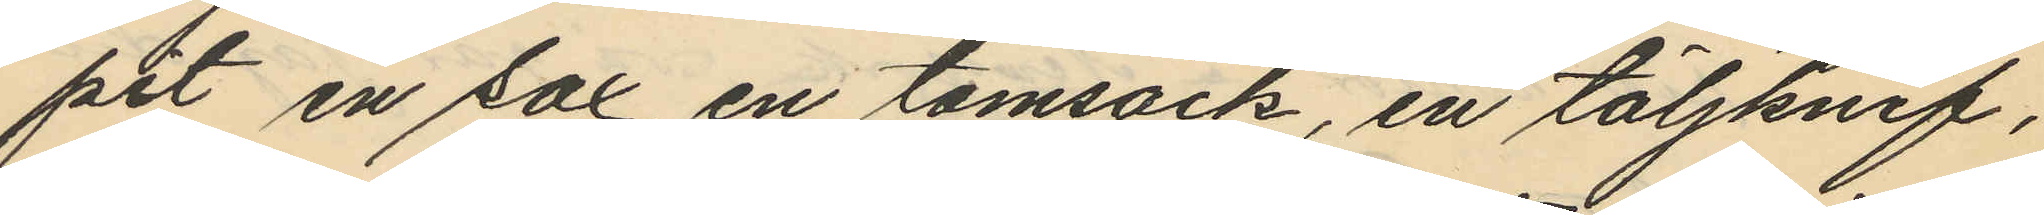pit en sax, en tomsäck, en täljknif,
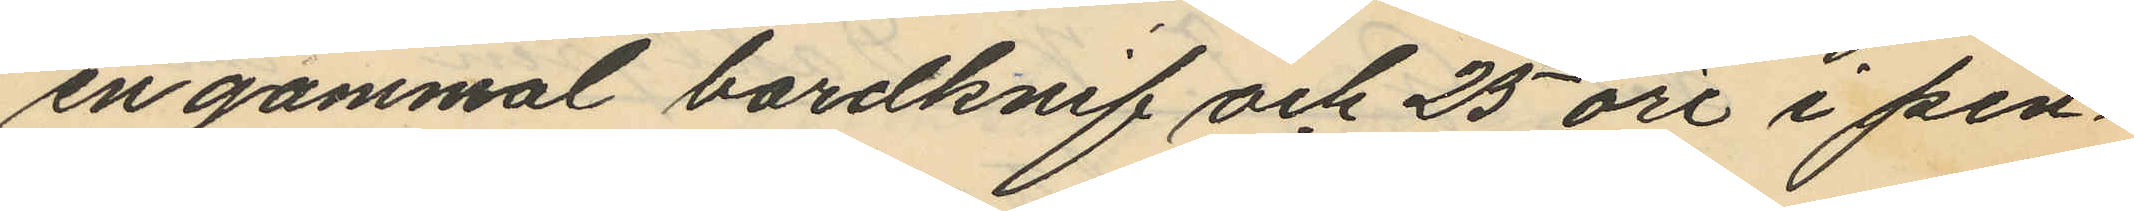en gammal bordknif och 25 öre i pen¬
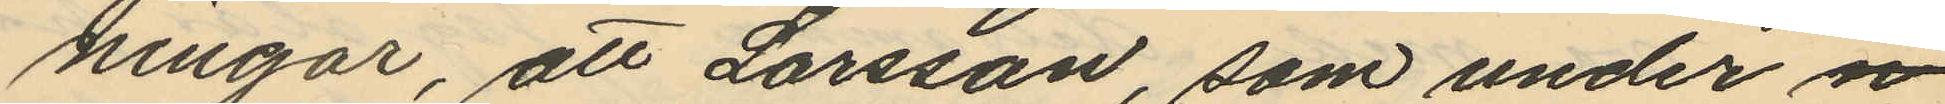ningar, att Larsson, som under n
